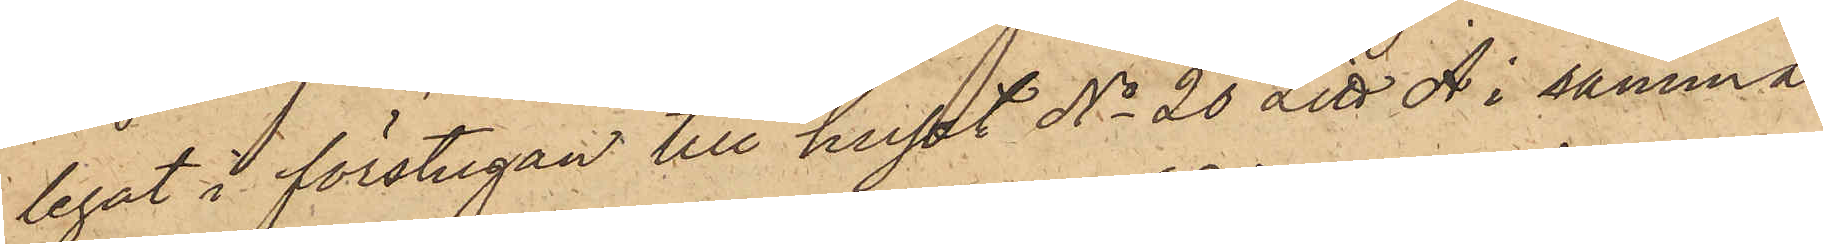legat i förstugan till huset No 20 Litt A i samma
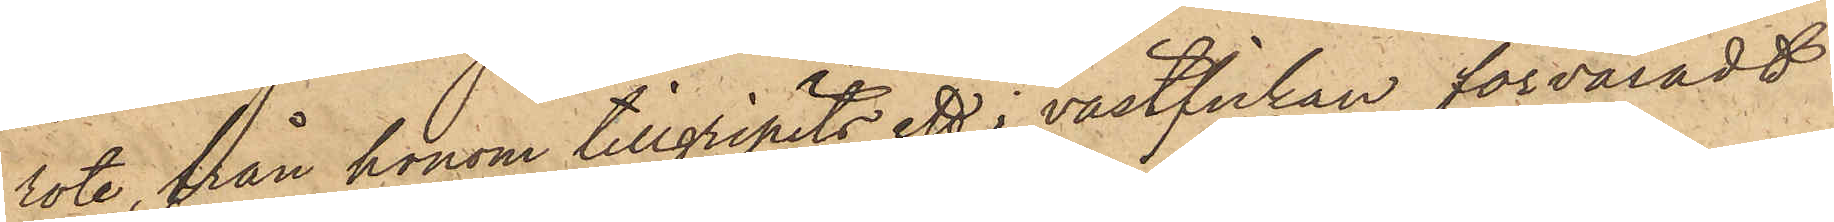rote, från honom tillgripits ett i västfickan förvaradt
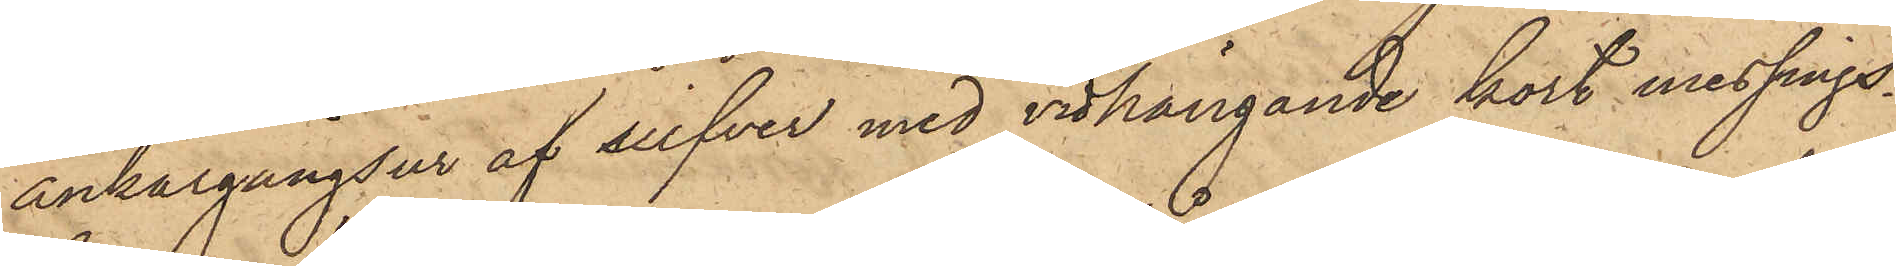ankargångsur af silfver med vidhängande kort messings¬
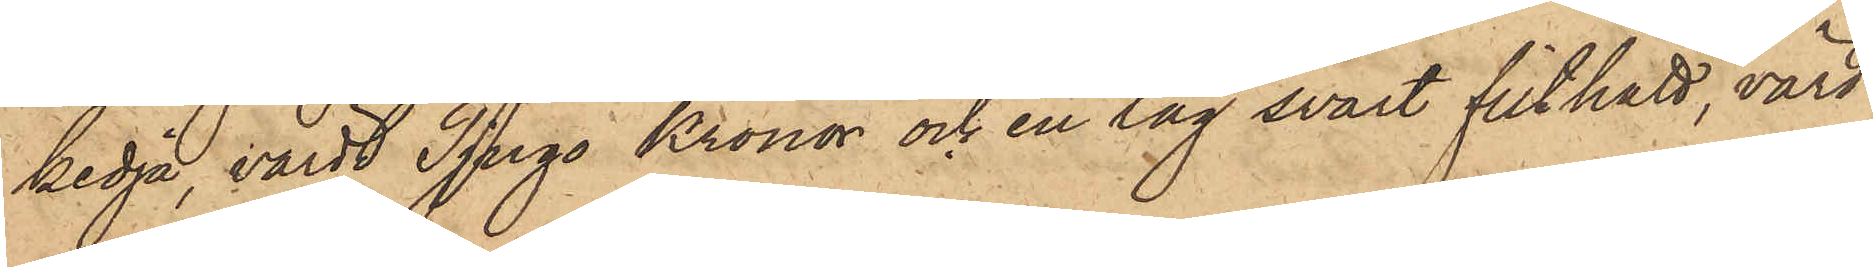kedja, värdt Tjugo Kronor och en lag svart filthatt, värd
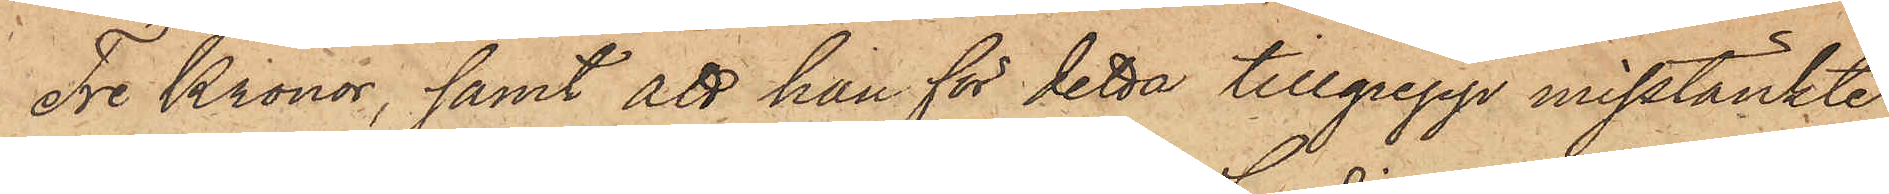Tre Kronor, samt att han för detta tillgrepp misstänkte
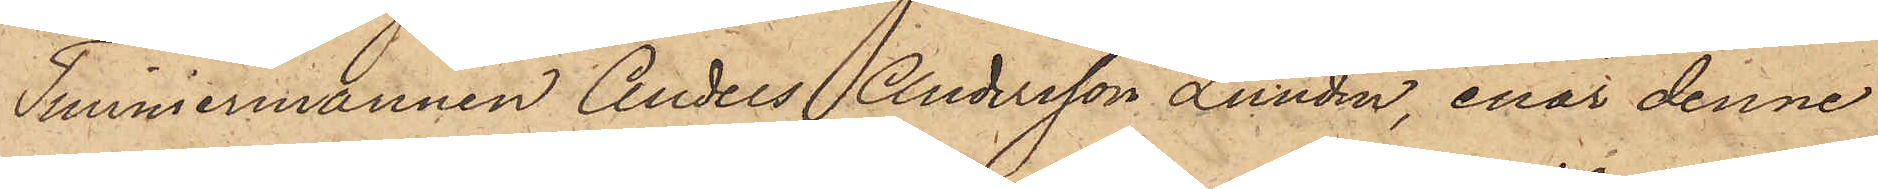Timmermannen Anders Andersson Lundin, enär denne
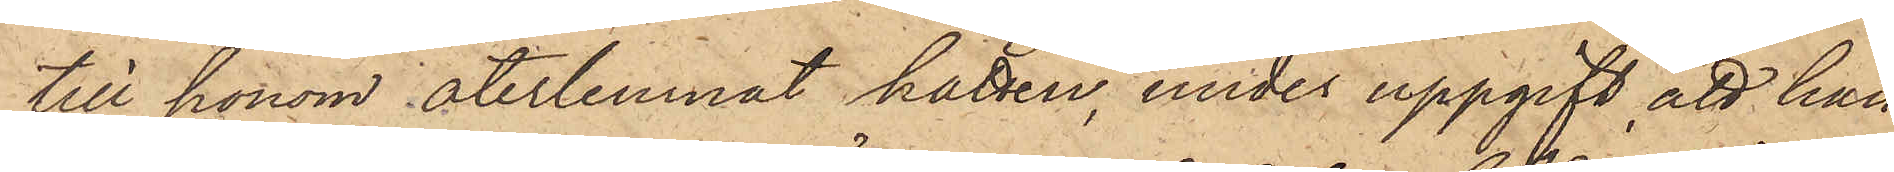till honom återlemnat hatten, under uppgift att han
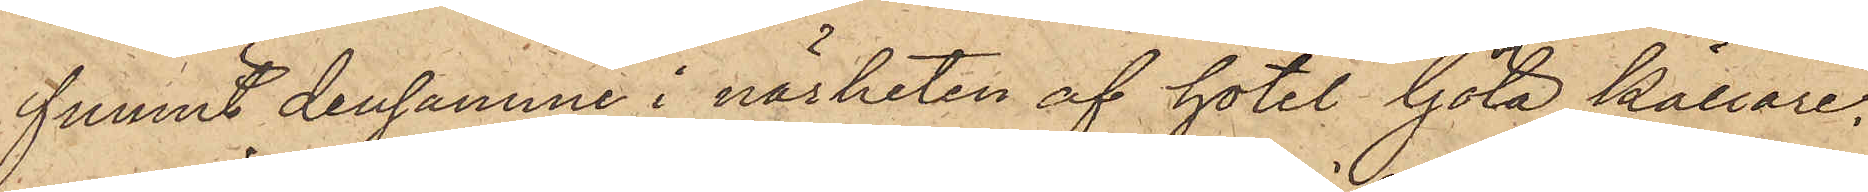funnit densamme i närheten af hotel Göta källare,
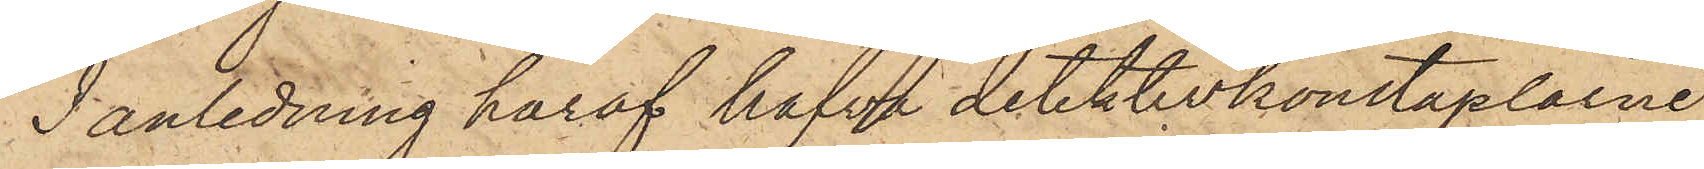I anledning häraf hafva detektivkonstaplarne
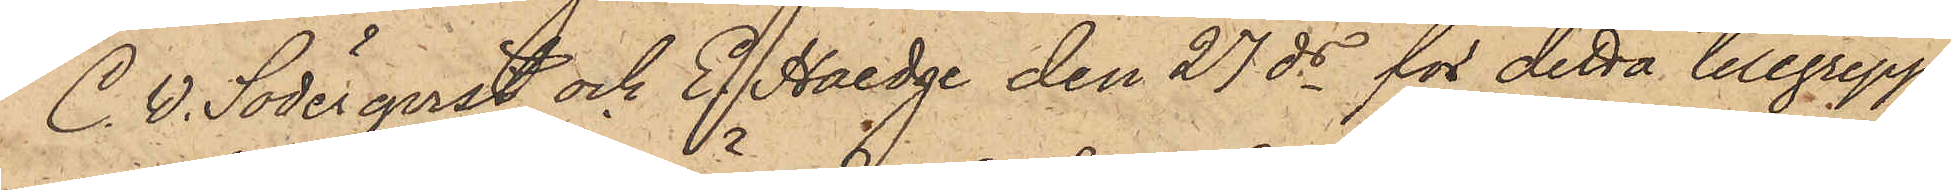C. W. Söderqvist och E. Haedge den 27 ds för detta tillgrepp
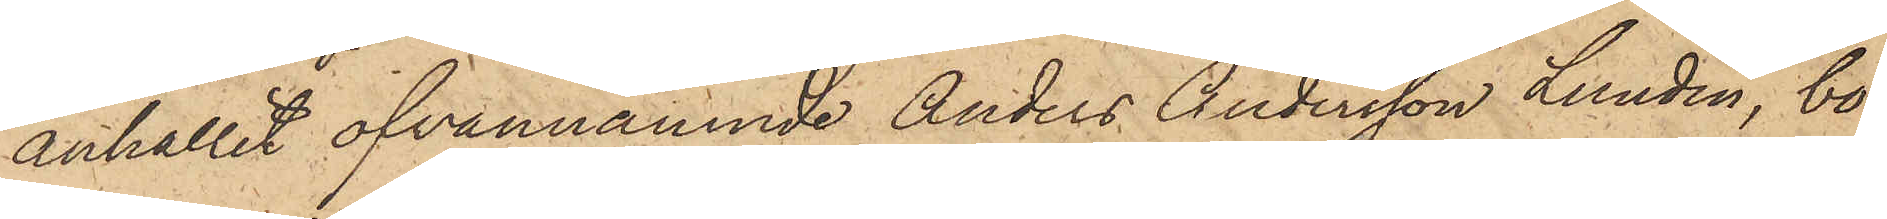anhållit ofvannämnde Anders Andersson Lundin, bo¬
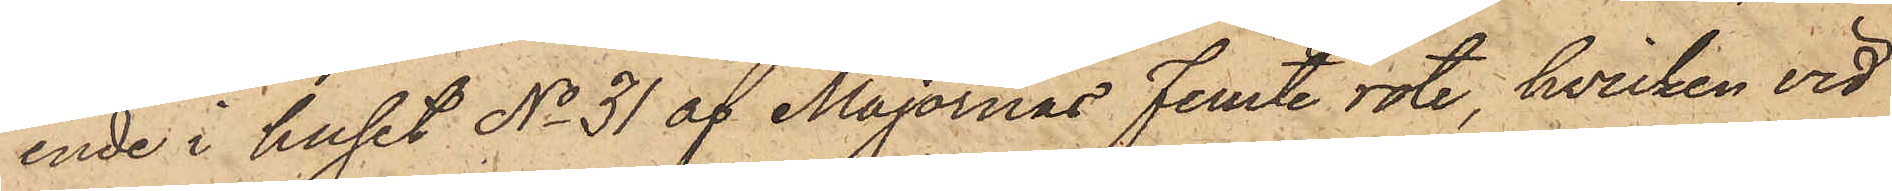ende i huset No 31 af Majornas femte rote, hvilken vid
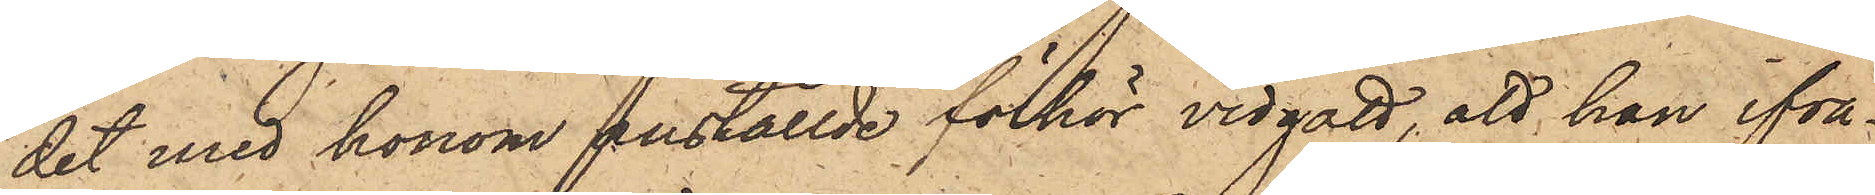det med honom anställde förhör vidgått, att han ifrå¬
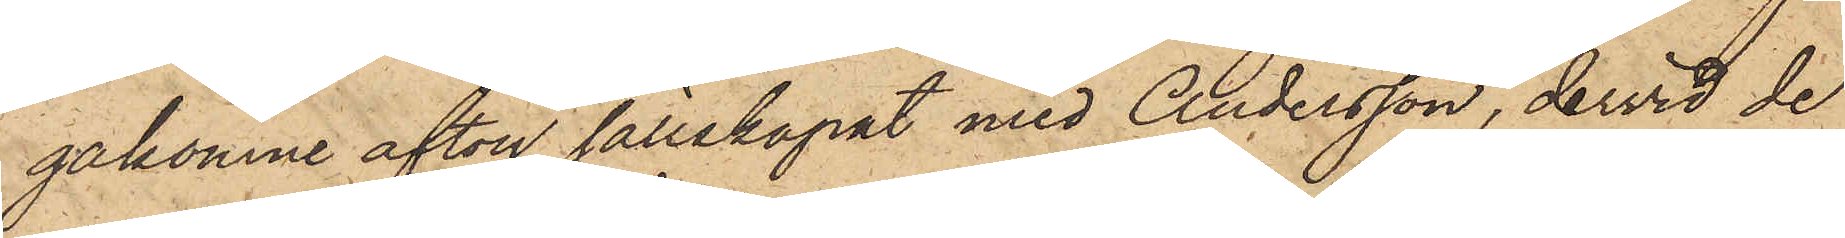gakomne afton sällskapat med Andersson, dervid de
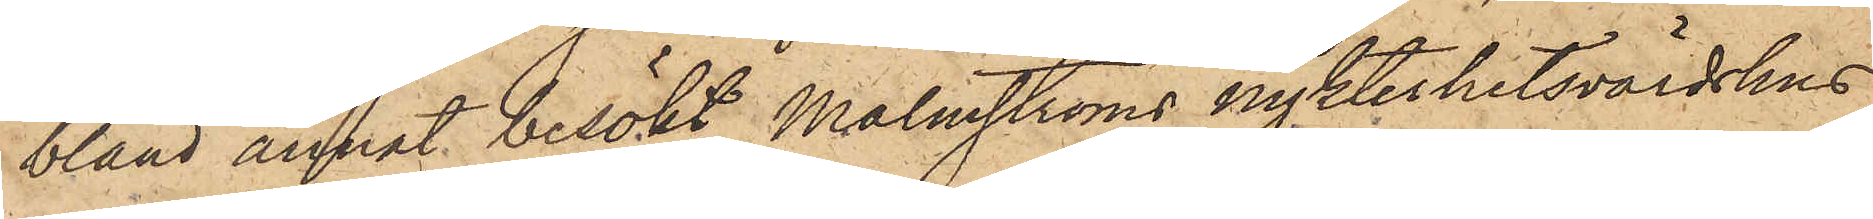bland annat besökt Malmströms nykterhetsvärdshus
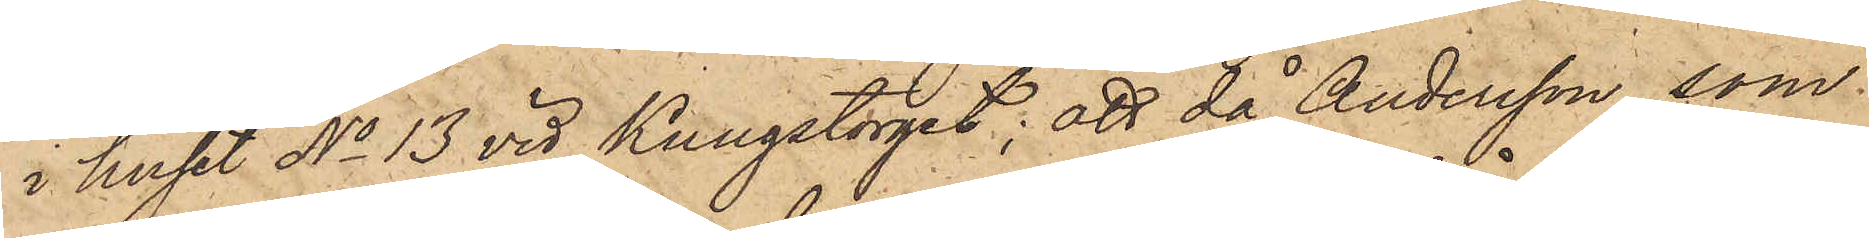i huset No 13 vid Kungstorget; att då Andersson, som
